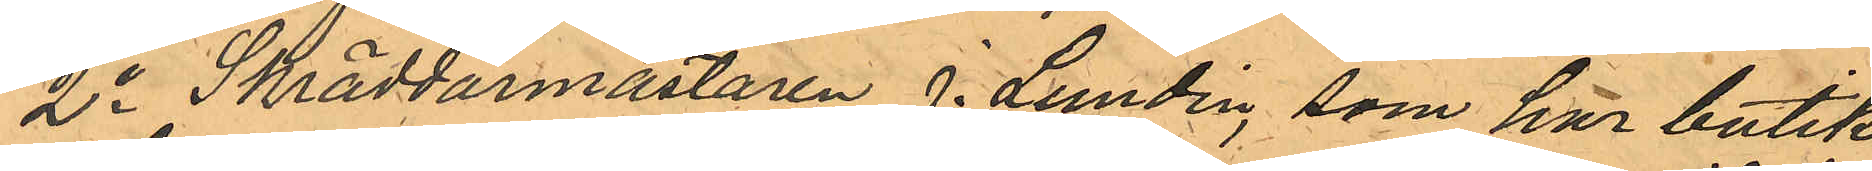2o Skräddarmästaren J. Lundin, som har butik
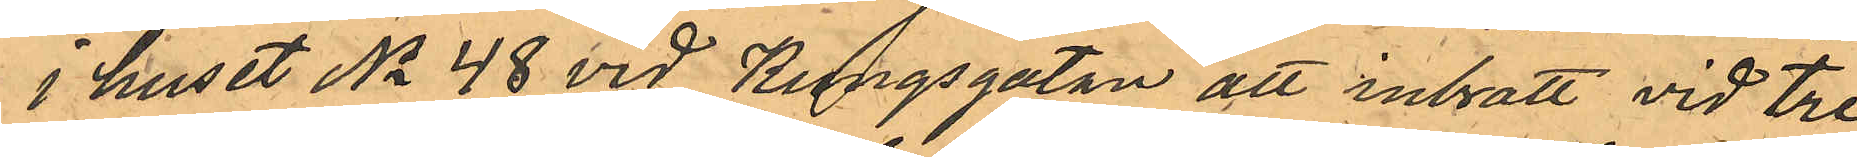i huset No 48 vid Kungsgatan att inbrott vid tre
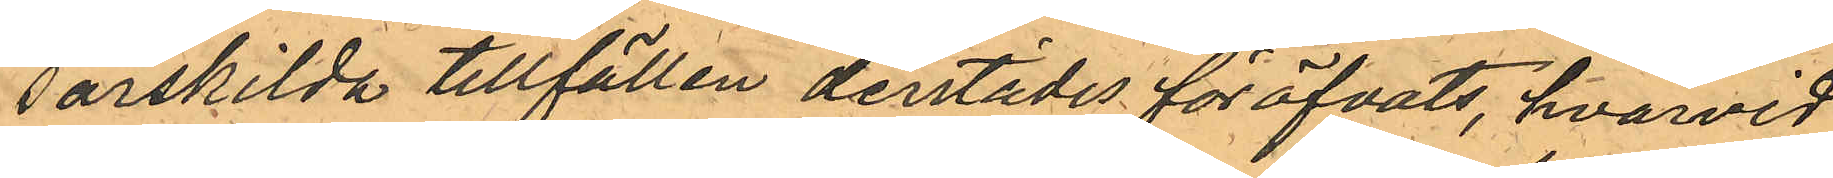särskilda tillfällen derstädes föröfvats, hvarvid
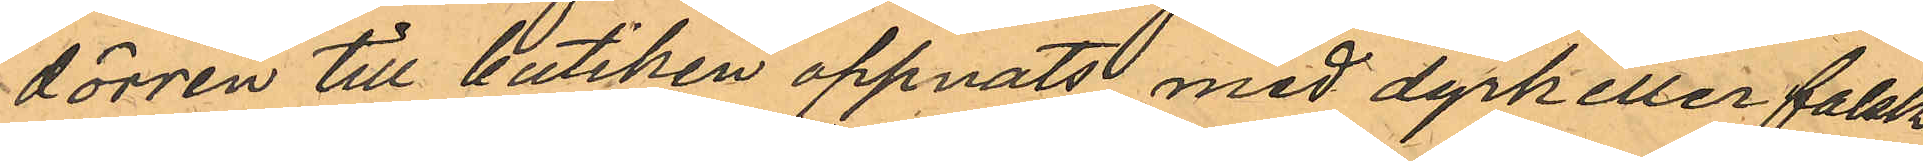dörren till butiken oppnats med dyrk eller falsk
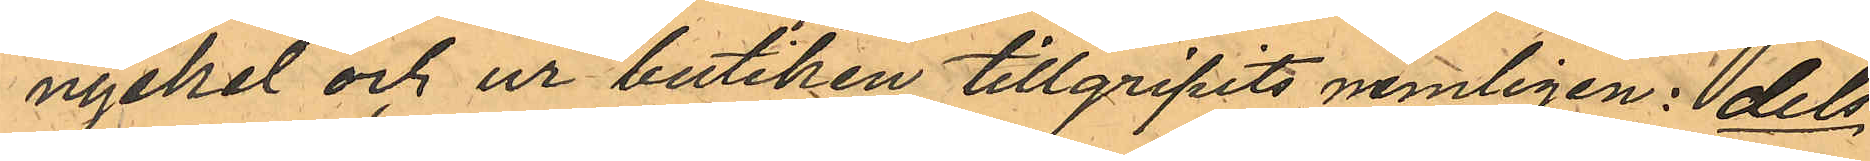nyckel och ur butiken tillgripits nemligen: dels
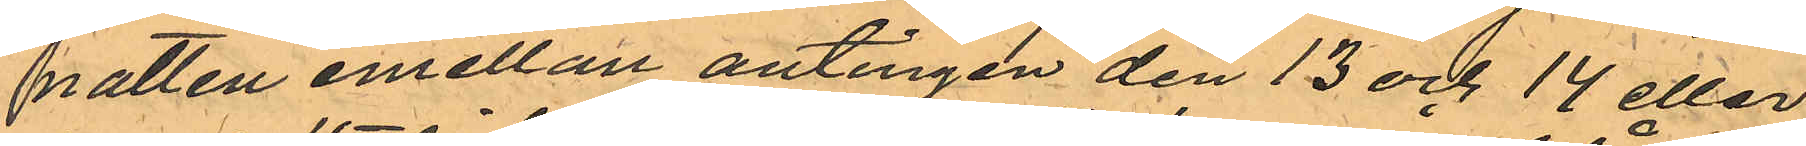natten emellan antingen den 13 och 14 eller
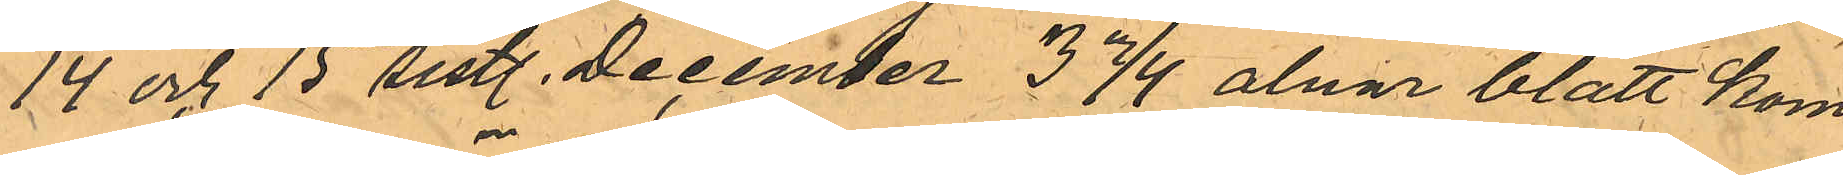14 och 15 sist. December 3 3/4 alnar blått kom¬
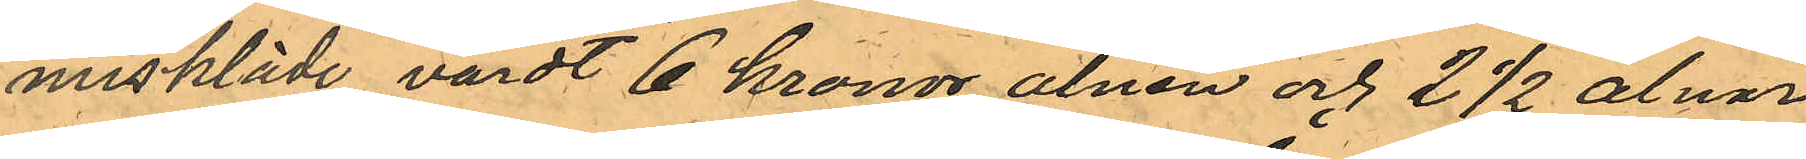miskläde värdt 6 kronor alnen och 2 1/2 alnar
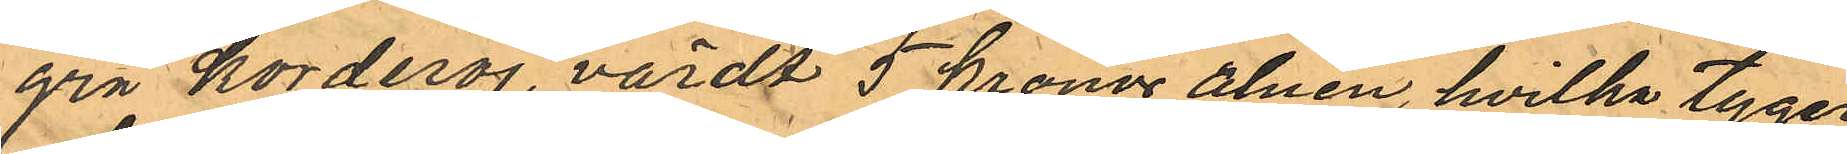grå korderoj, värdt 5 kronor alnen, hvilka tyger
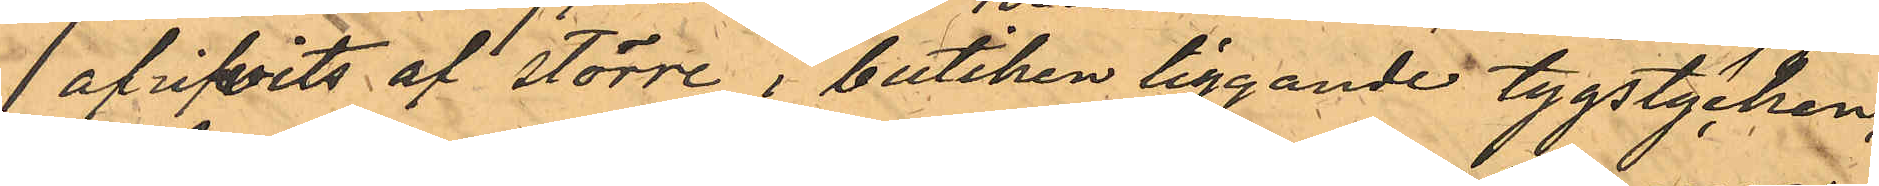afrifvits af större i butiken liggande tygstycken,
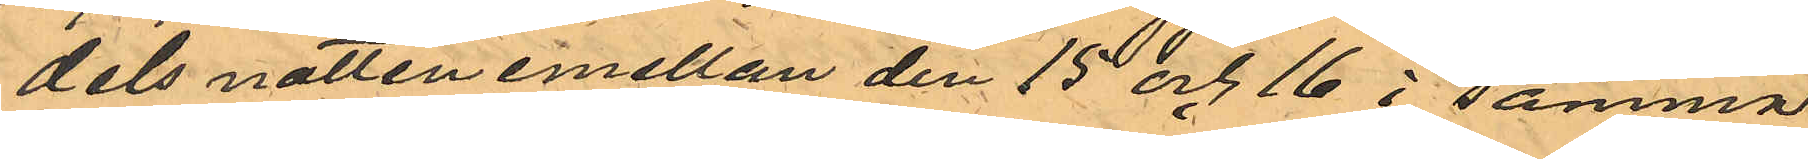dels natten emellan den 15 och 16 i samma
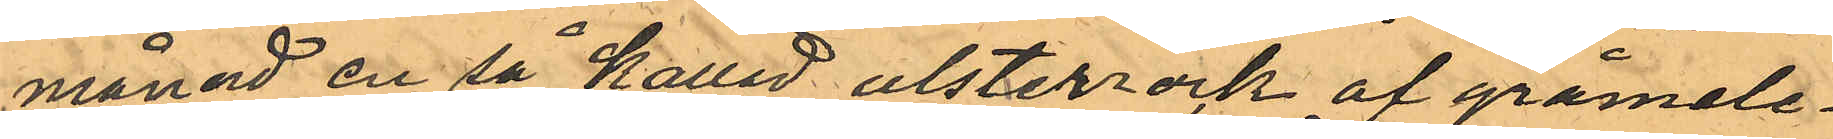månad en så kallad ulsterrock af gråmele¬
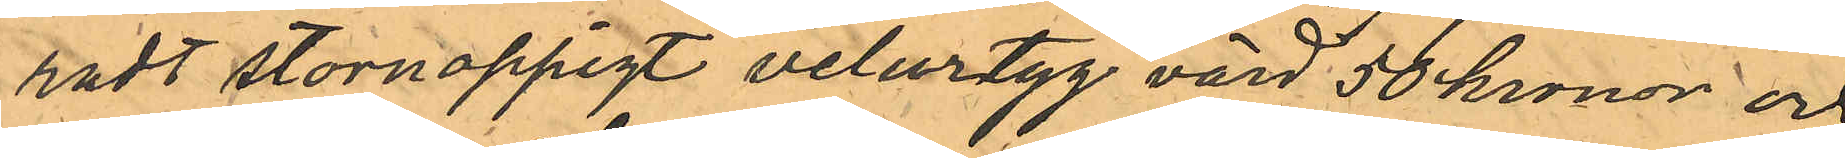radt stornoppigt velurtyg värd 50 kronor och
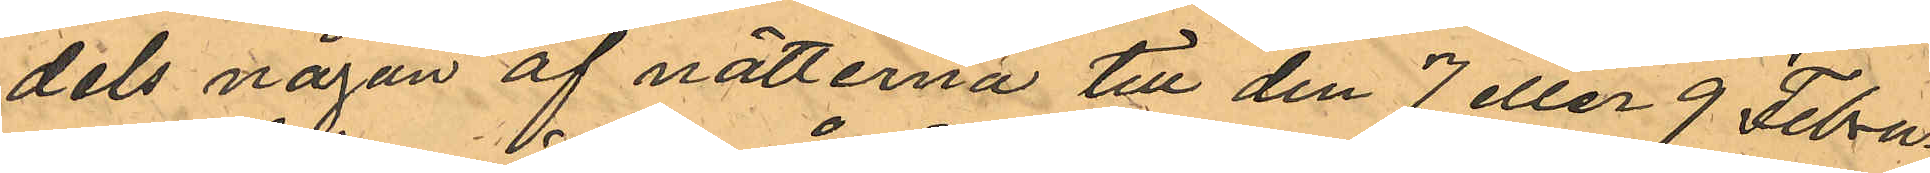dels någon af nätterna till den 7 eller 9 Febru¬
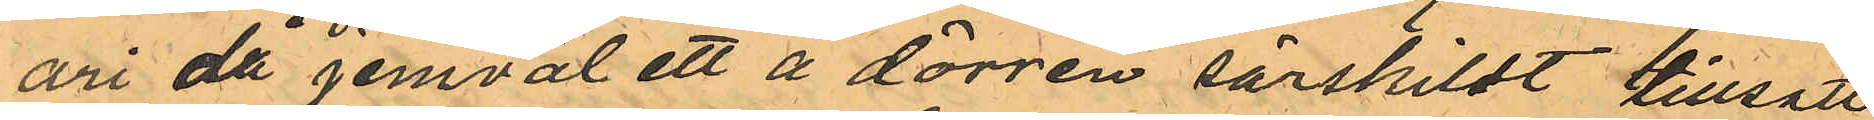ari då jemväl ett å dörren särskilt tillsatt
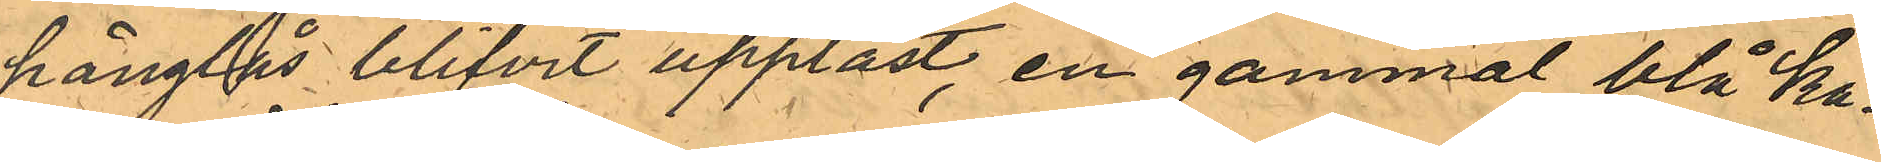hänglås blifvit upplåst, en gammal blå ka¬
